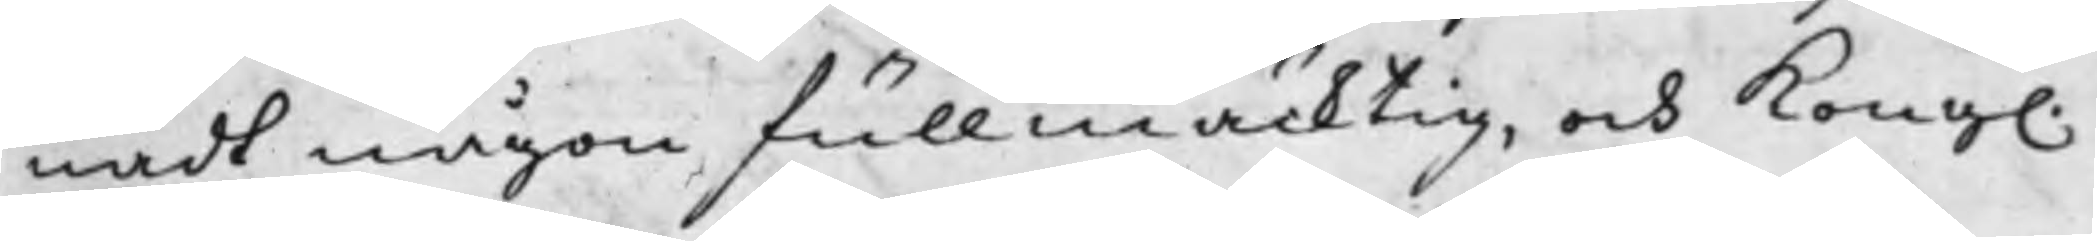nadt någon fullmäcktig, och Kong.
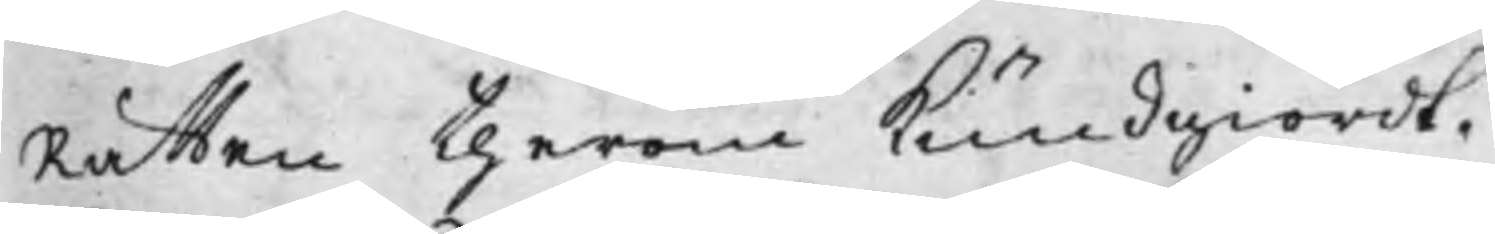Rätten therom Kundgiordt.
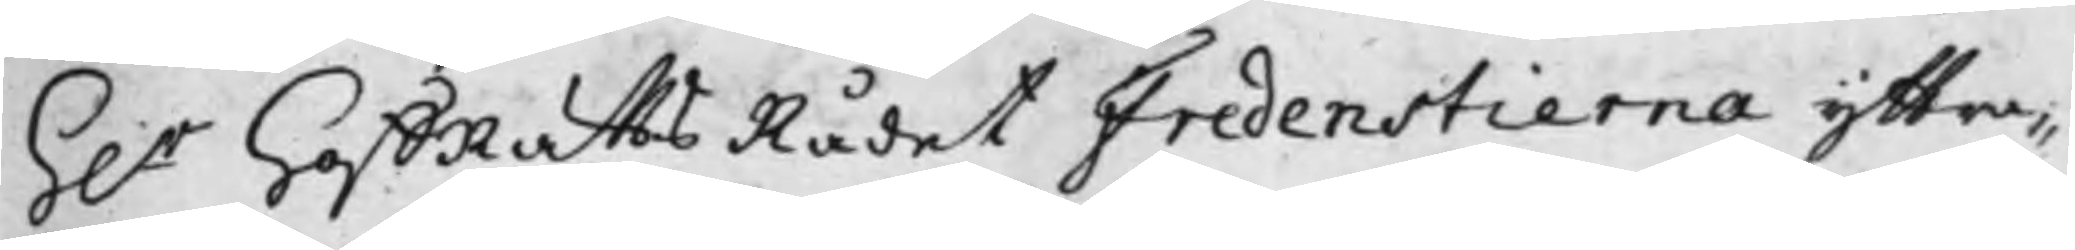h.r HoffRättsRådet Fredenstierna yttra¬
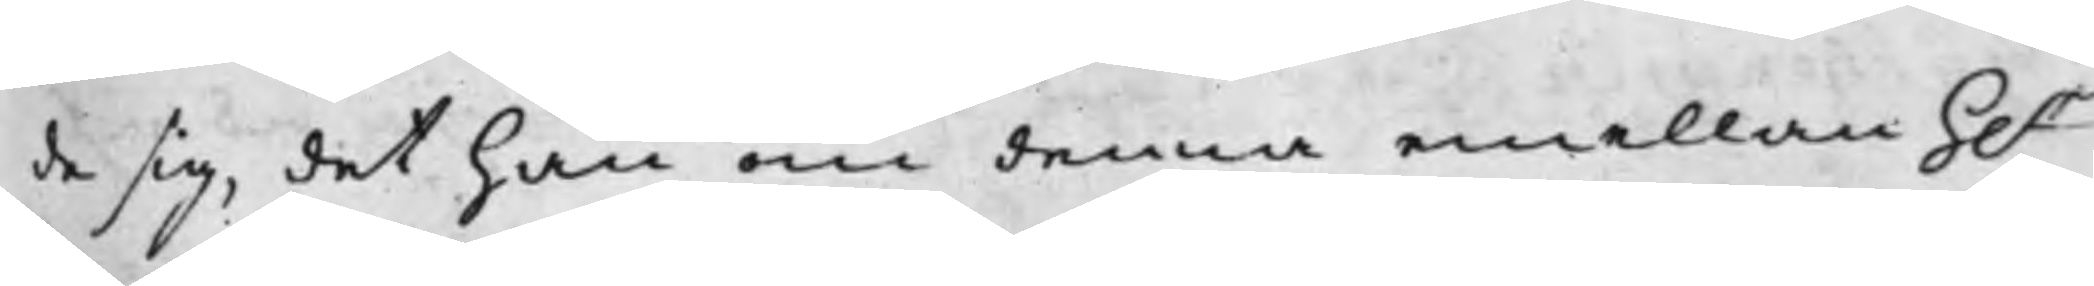de sig, det han om denna emellan h.r
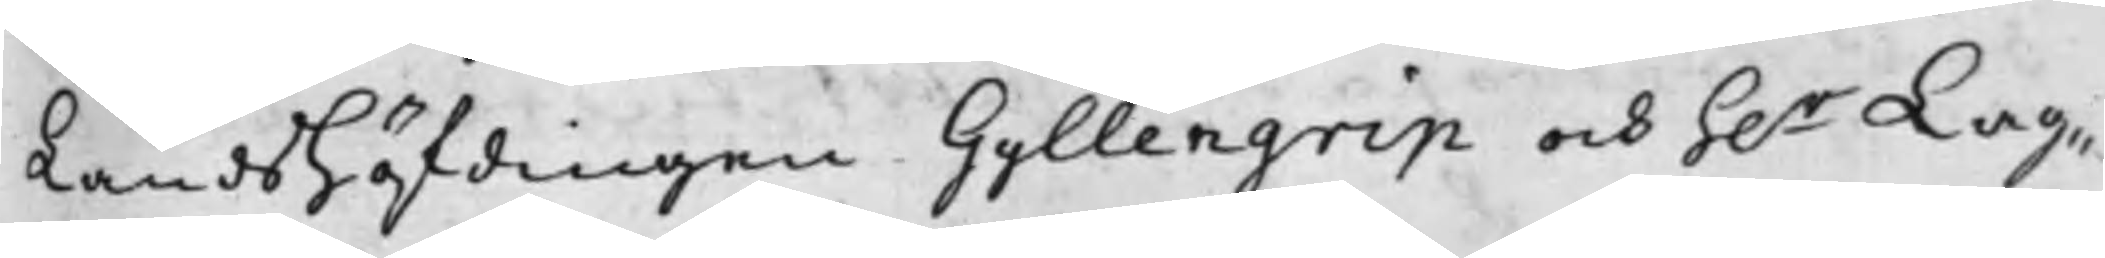Landshöfdingen Gyllengrip och h.r Lag¬
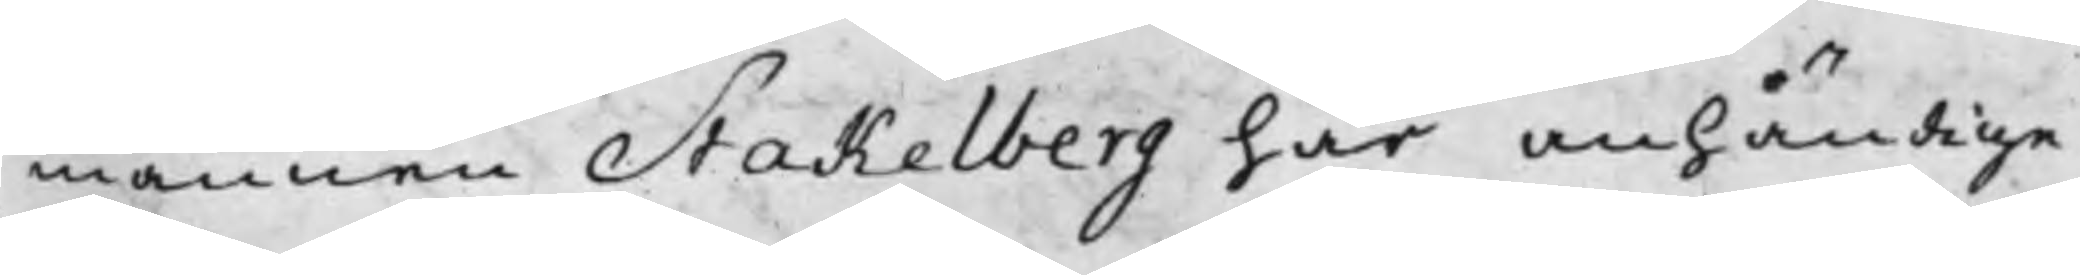mannen Stakelberg här anhängige
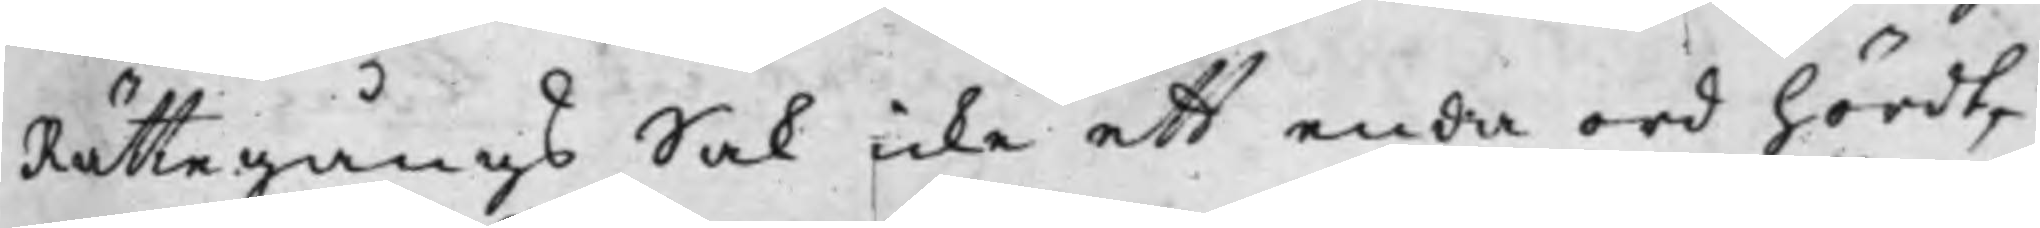Rättegångs Sak icke ett enda ord hördt,
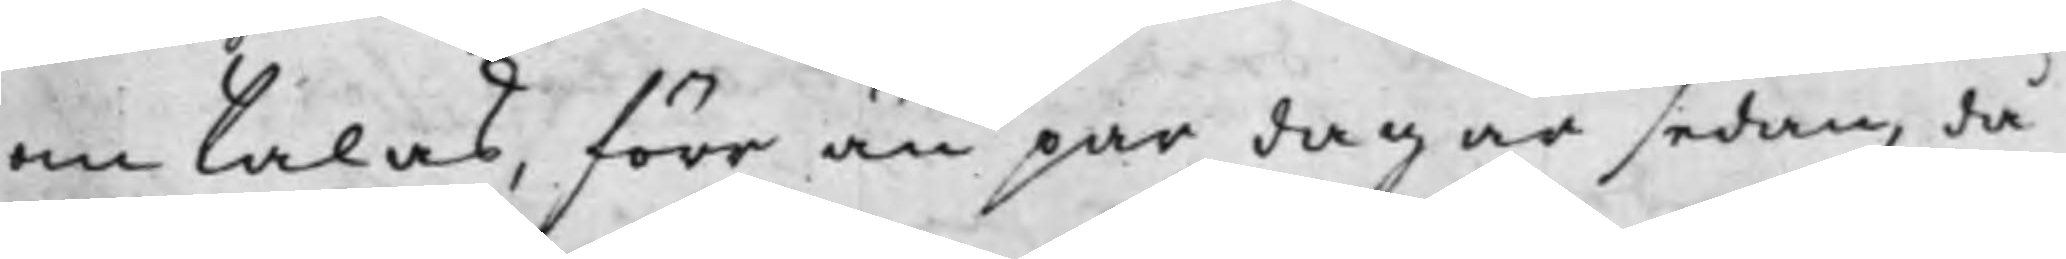om talas, förr än par dagar sedan, då
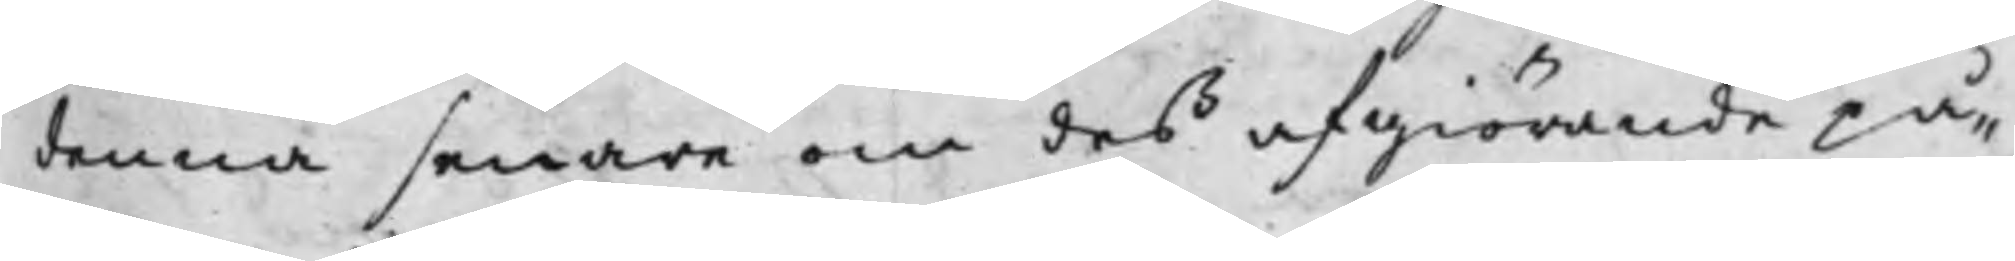denna senare om des afgiörande på¬
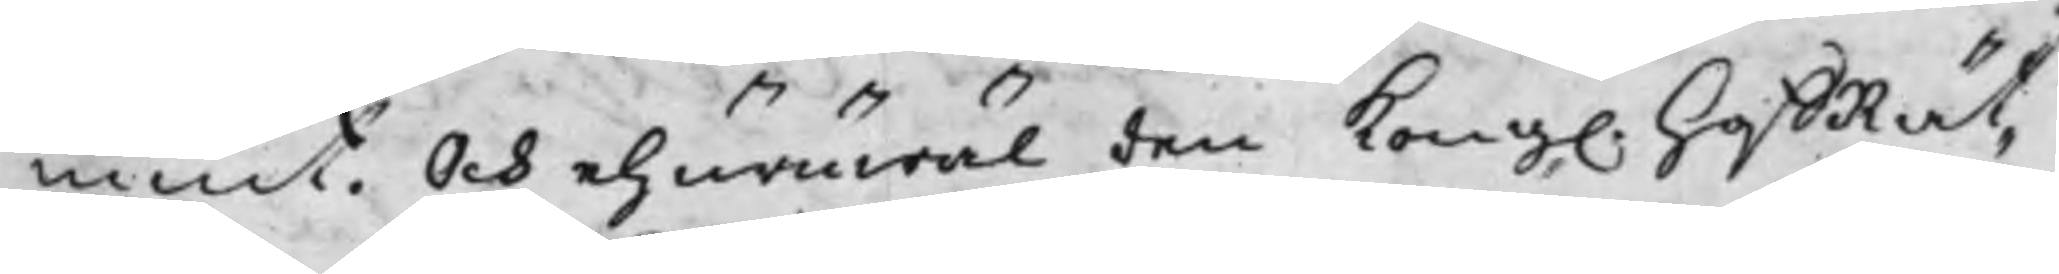mint. Och ehuruwäl den Kong. HoffRät¬
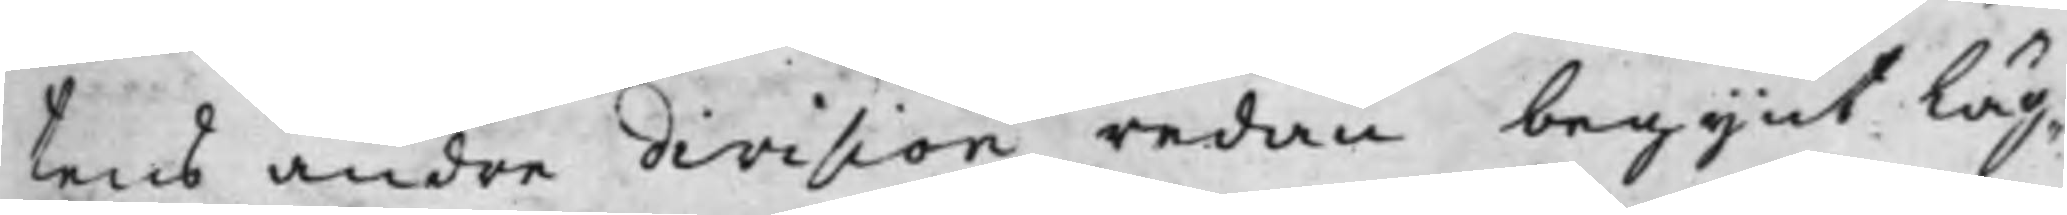tens andre division redan begynt läg¬
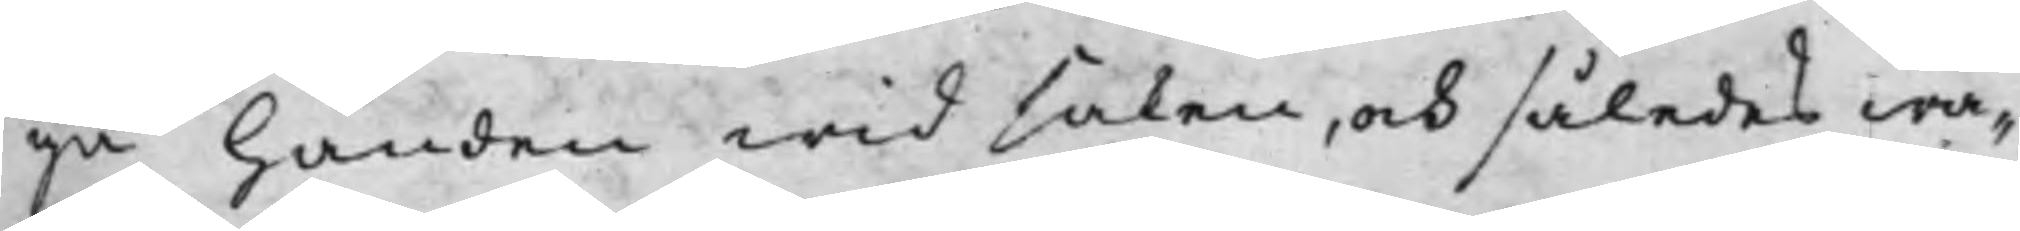ga handen wid saken, och således wa¬
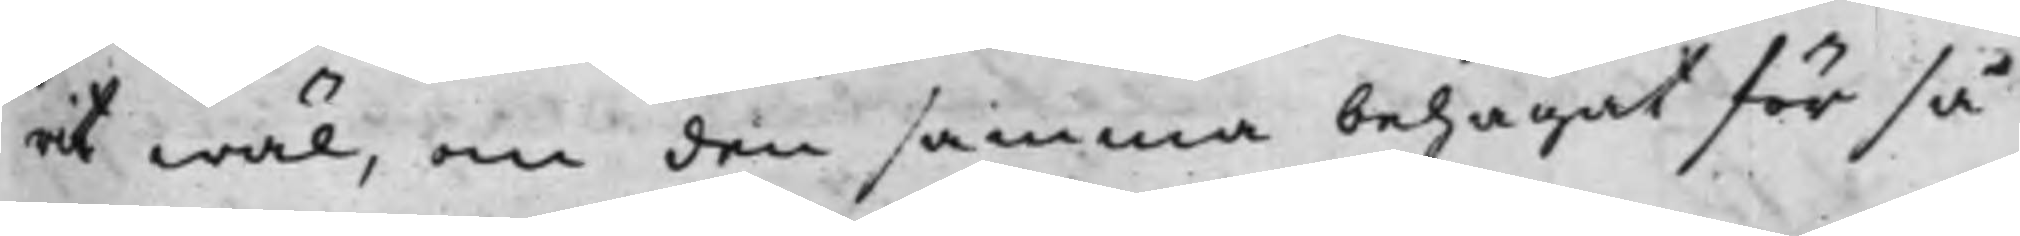rit wäl, om den samma behagat för så
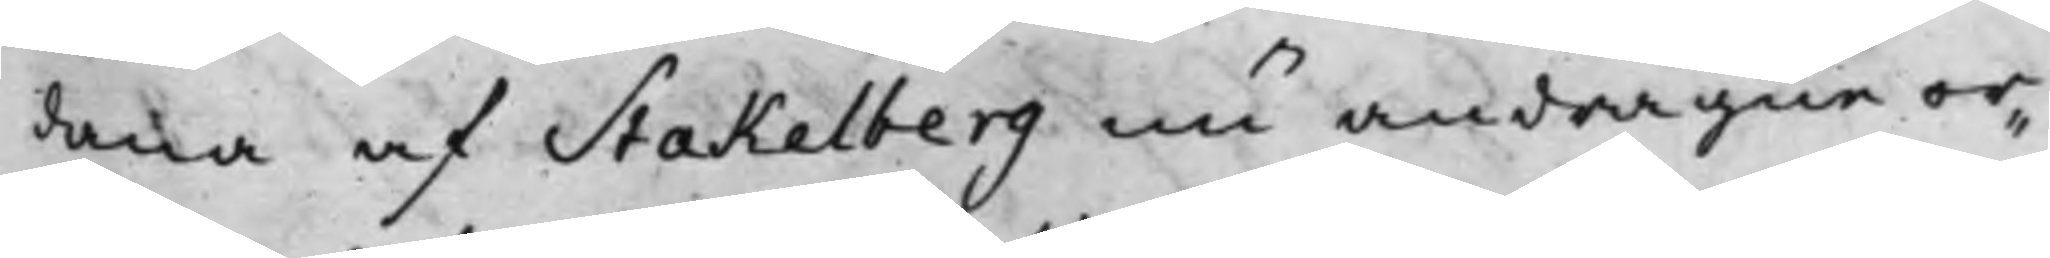dana af Stakelberg nu andragne or¬
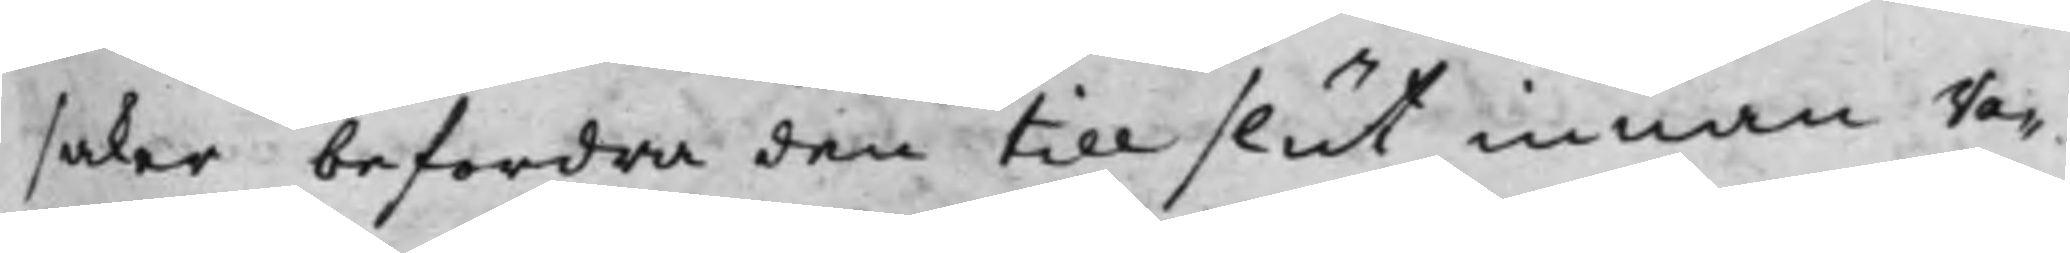saker befordra den till slut innan Va¬
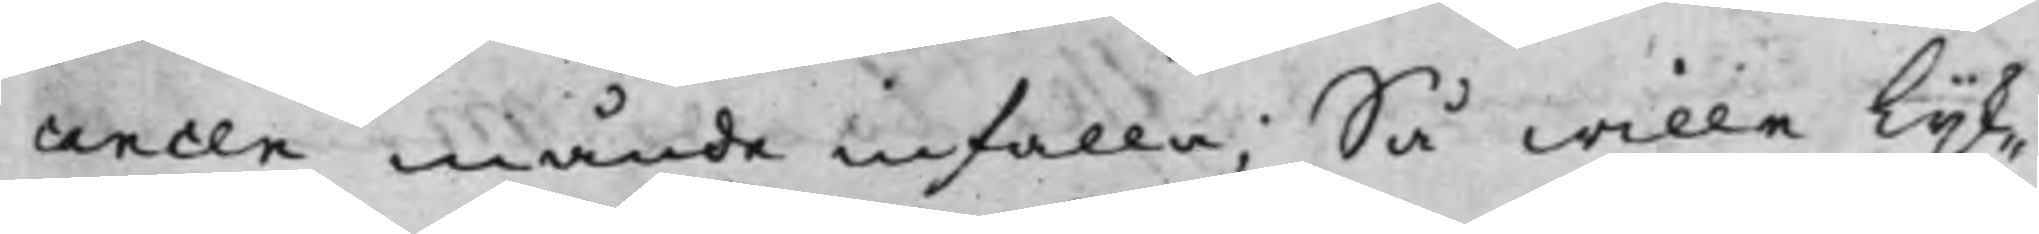cancen månde infalla; Så wille lijk¬
